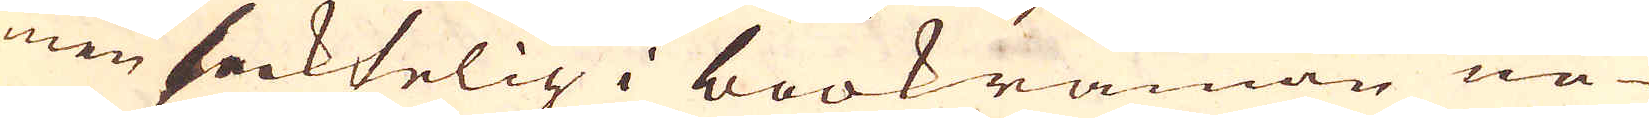men sacktelig i bookrämman ne-
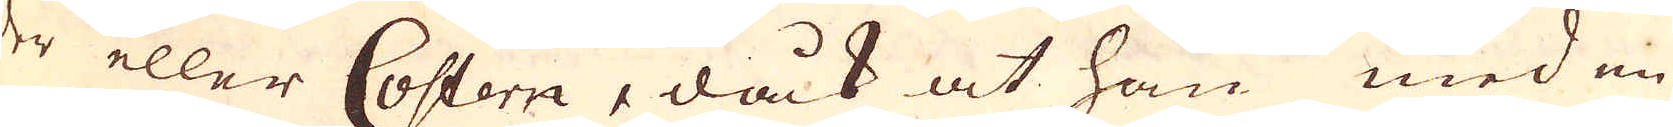der eller Costern, dåck at han med en
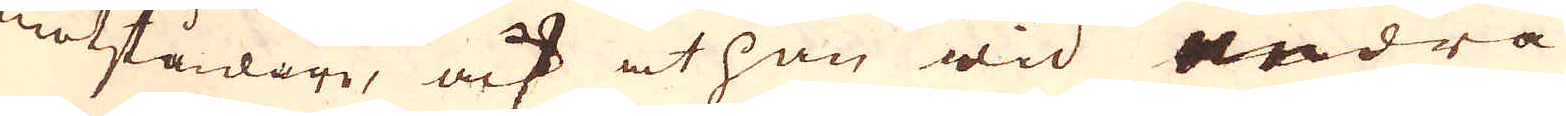motståndare, ock at han wid andra
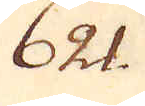621.
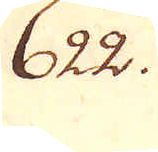622.
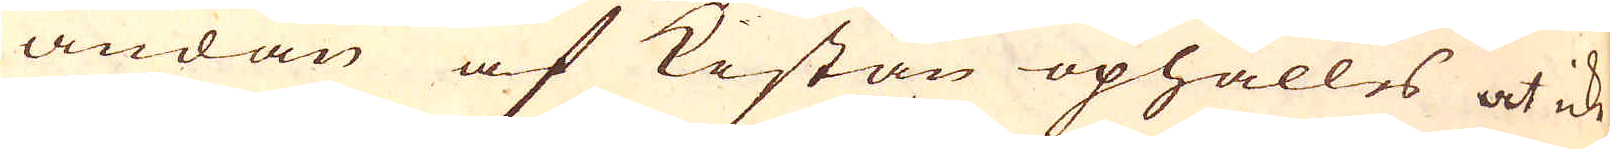ändan af Kistan ophålles at icke
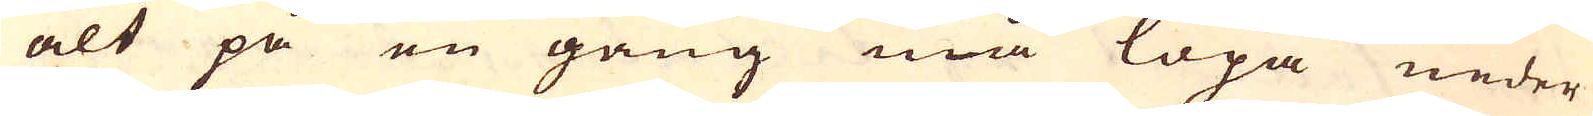alt på en gång må löpa neder
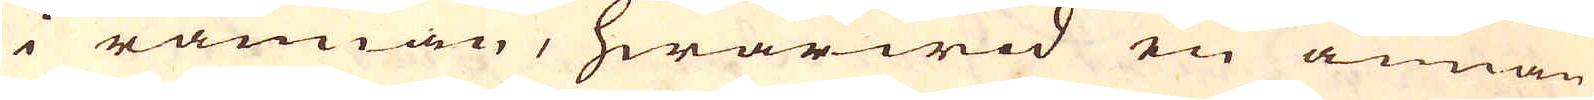i rännan, hwarwid en annan
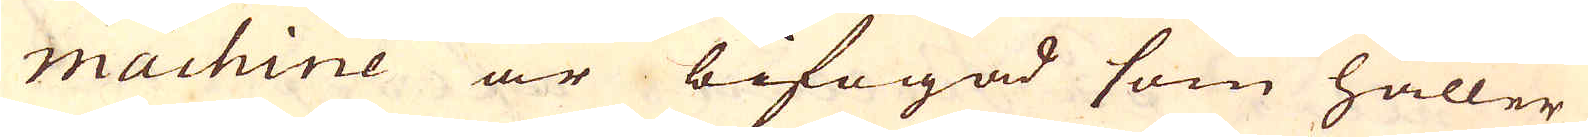machine är bifogad som håller
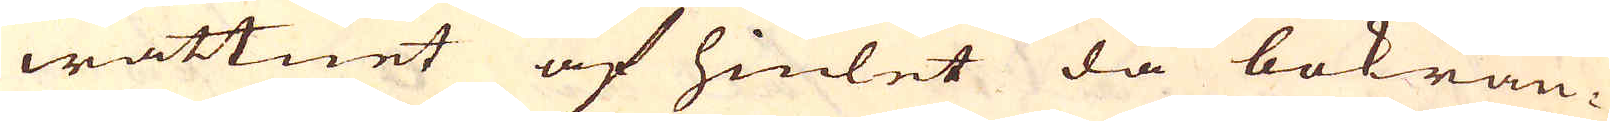wattnet af hiulet då bokrän-
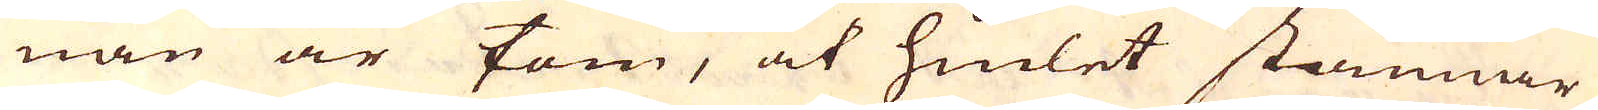nan är tom, at hiulet stannar
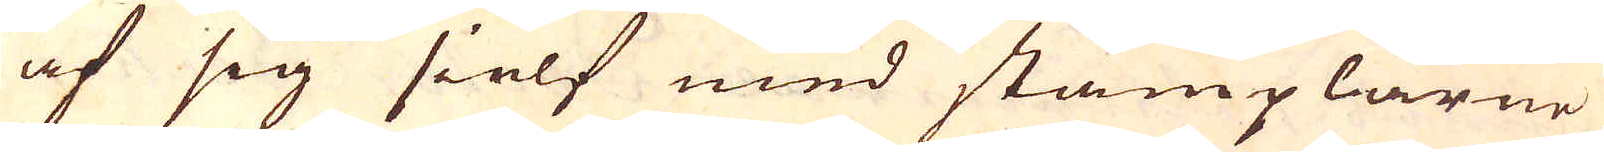af sig sielf med stämplarne
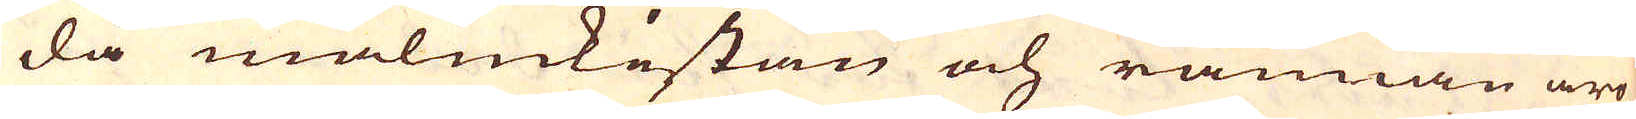då malmkistan och rännan äro
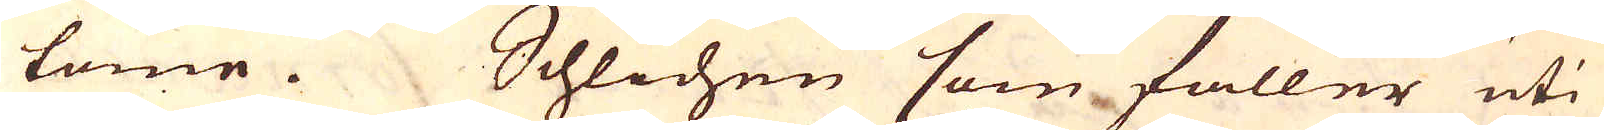tome. Schlichen som faller uti
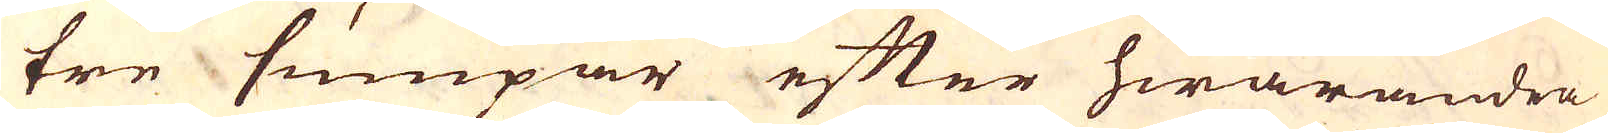tre sumpar efter hwarandra
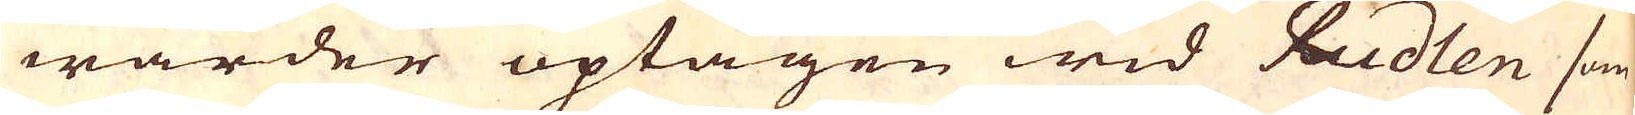warder uptagen wid Rudlen som
